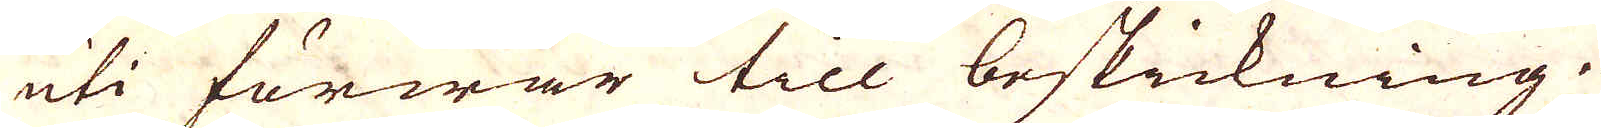uti förwar till beskickning.
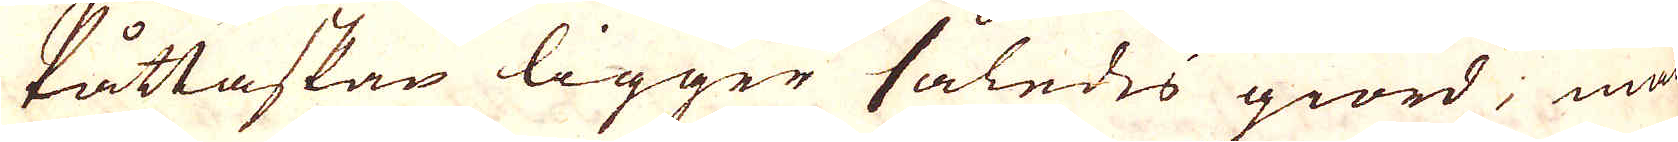Påttaskan ligger således giord; man
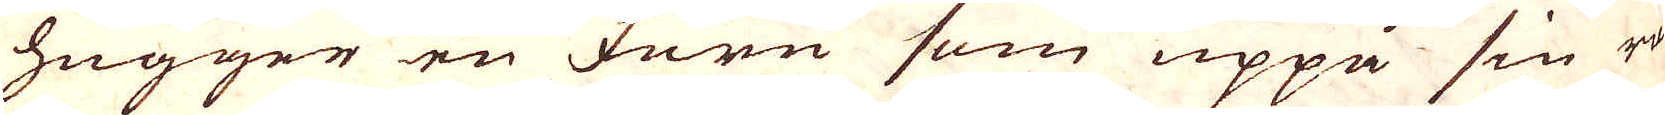hugger en furu som uppå sin rot
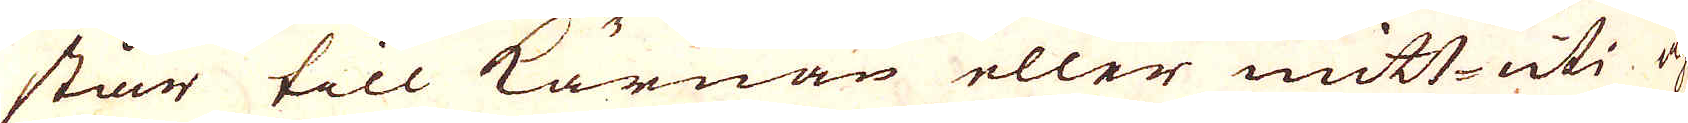står till kärnan eller mitt-uti och
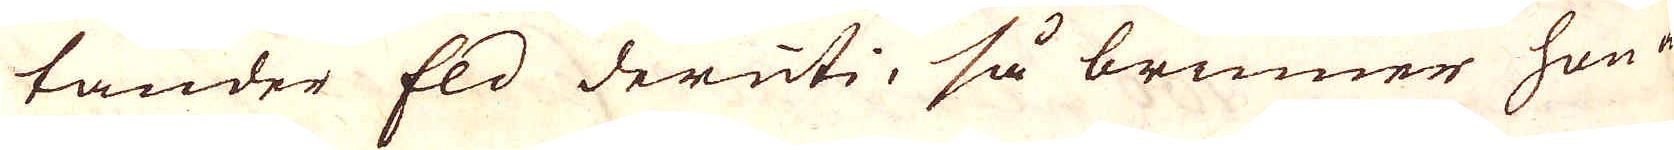tänder Eld deruti, så brinner hon en
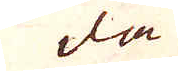da
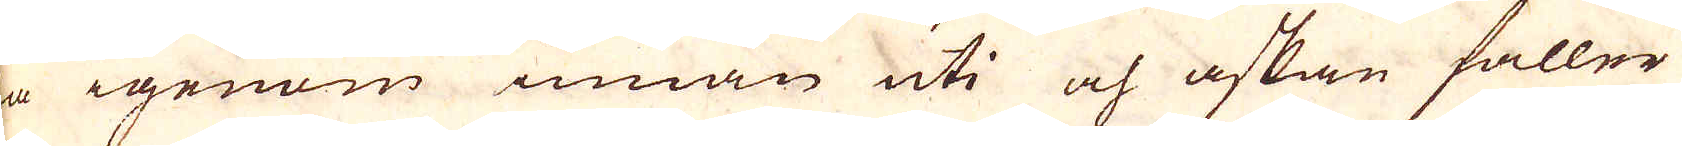da igenom innan uti och askan faller
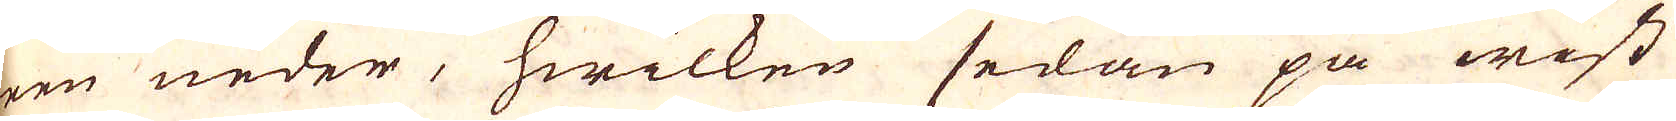reen neder, hwilken sedan på wist
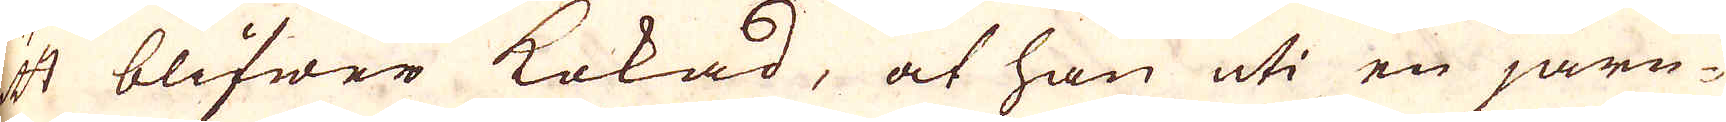sätt blifwer kokad, at han uti en järn-
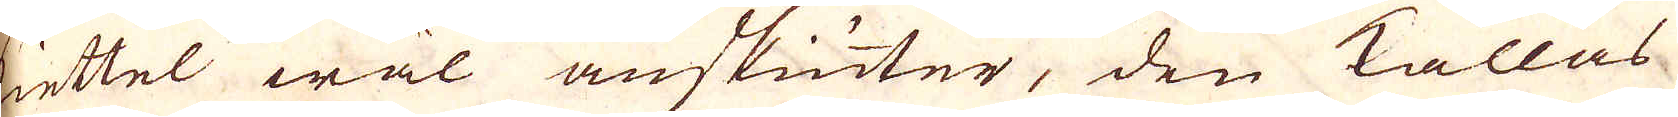kiettel wäl anskiuter, den kallas
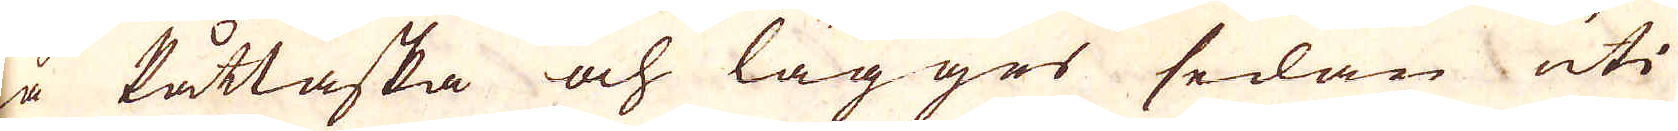rå Påttaska och lägger sedan uti
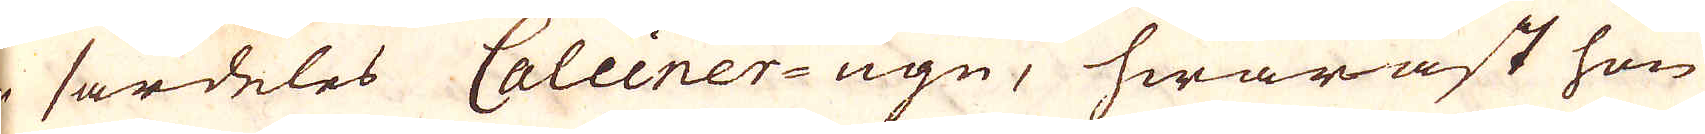en särdeles Calciner-ugn, hwaräst hon
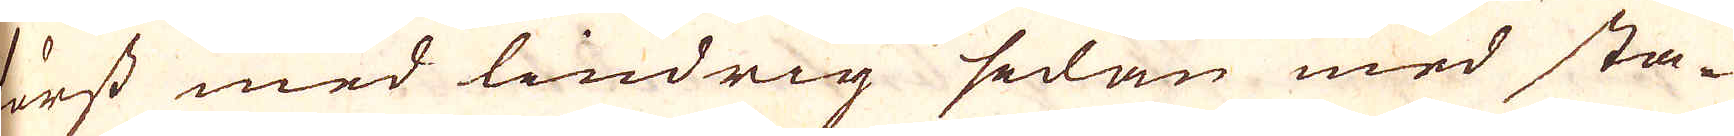först med lindrig sedan med sta-
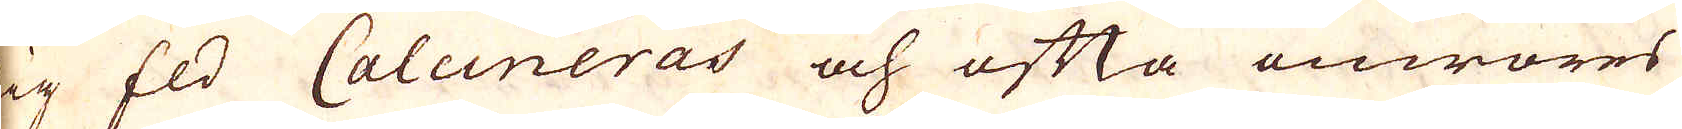dig Eld Calcineras och ofta omröres
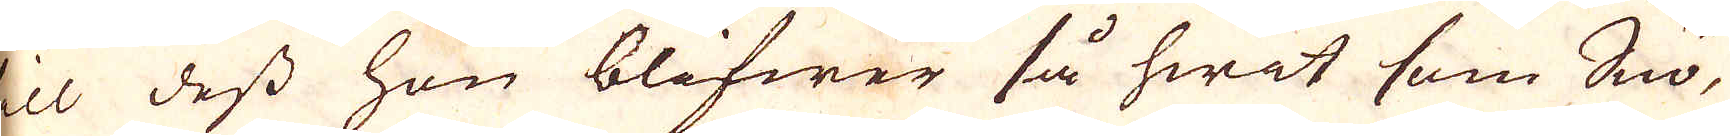till dess hon blifwer så hwit som Snö,
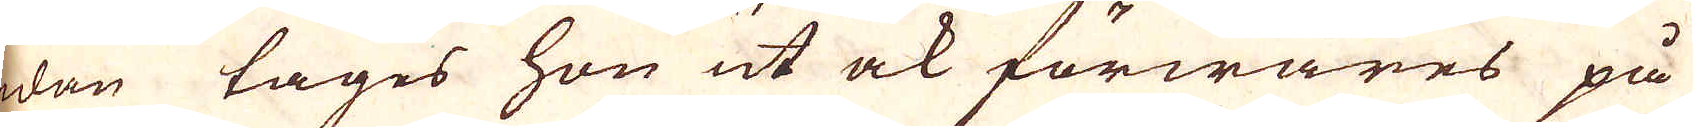sedan tages hon ut ock förwares på
